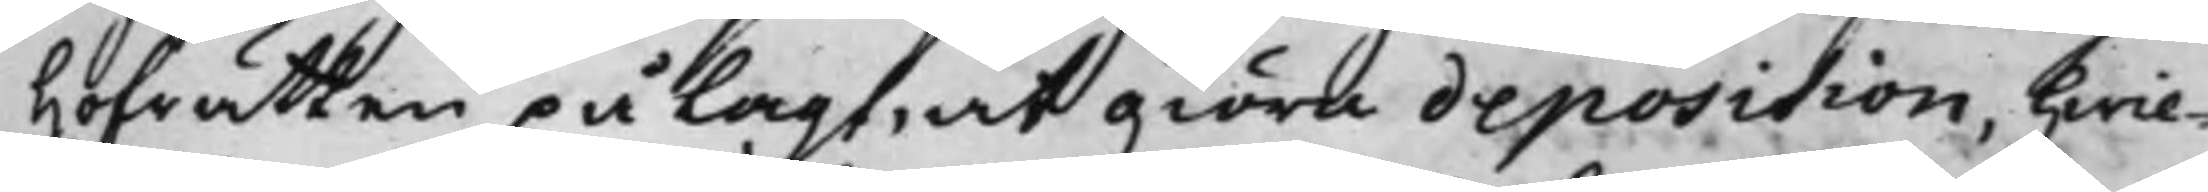Hofrätten pålagt, at giöra deposition, hwil¬
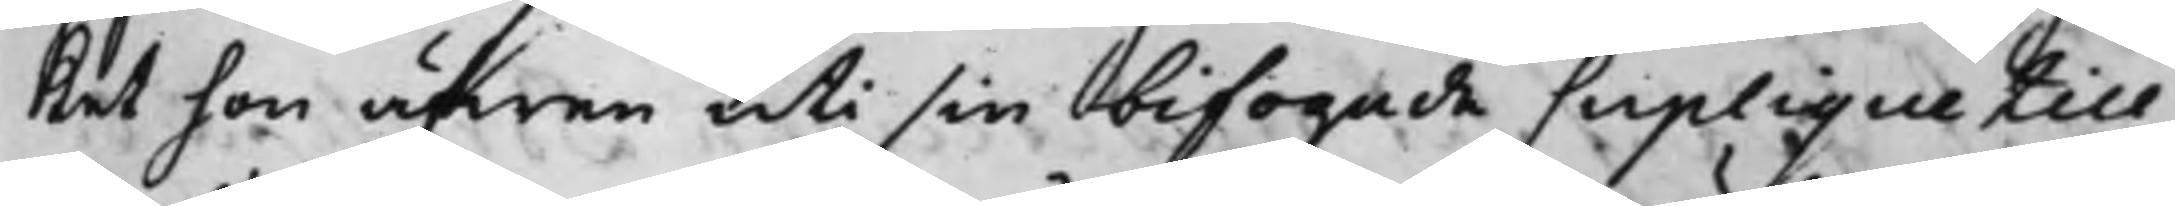ket hon äfwen uti sin bifogade Suplique till
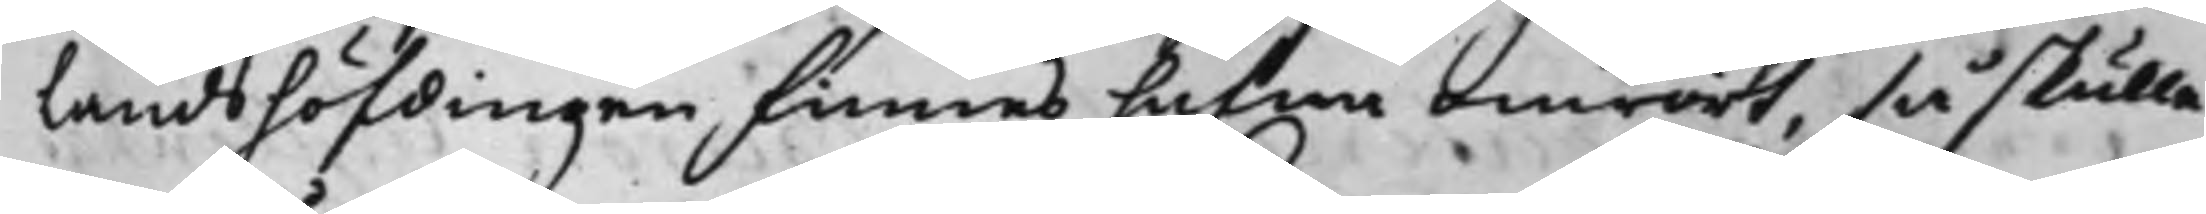Landshöfdingen, finnes hafwa omrört, så skulle
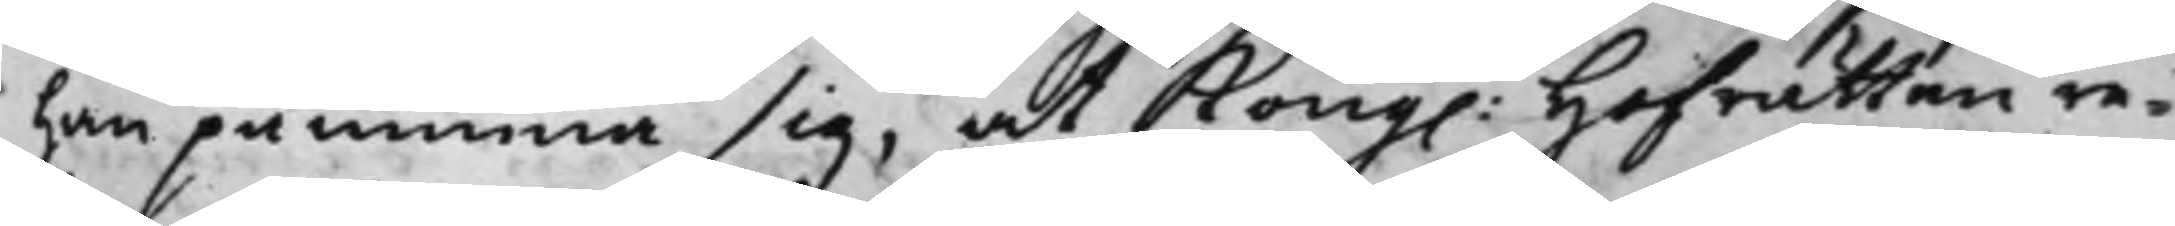han påminna sig, at Kong. Hofrätten re¬
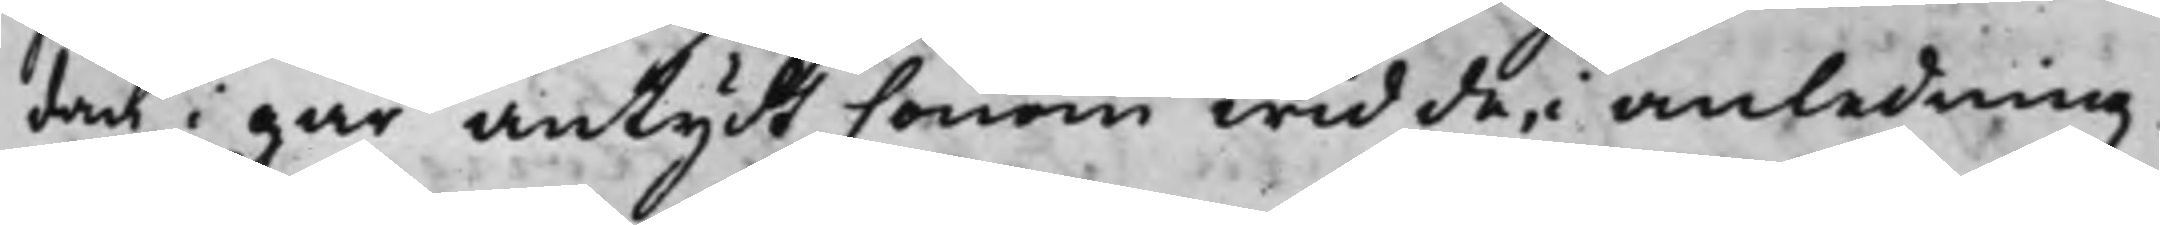dan i går antydt honom wid de, i anledning
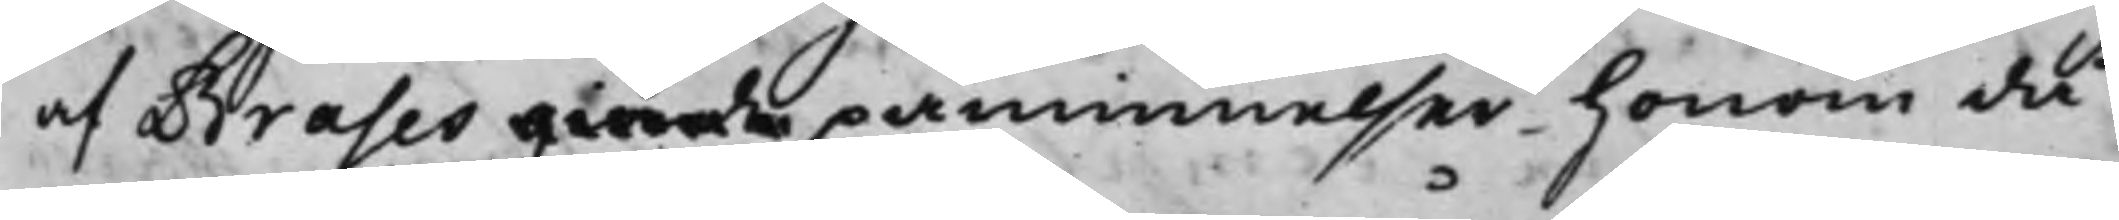af Brahes giorde påminnelser honom då
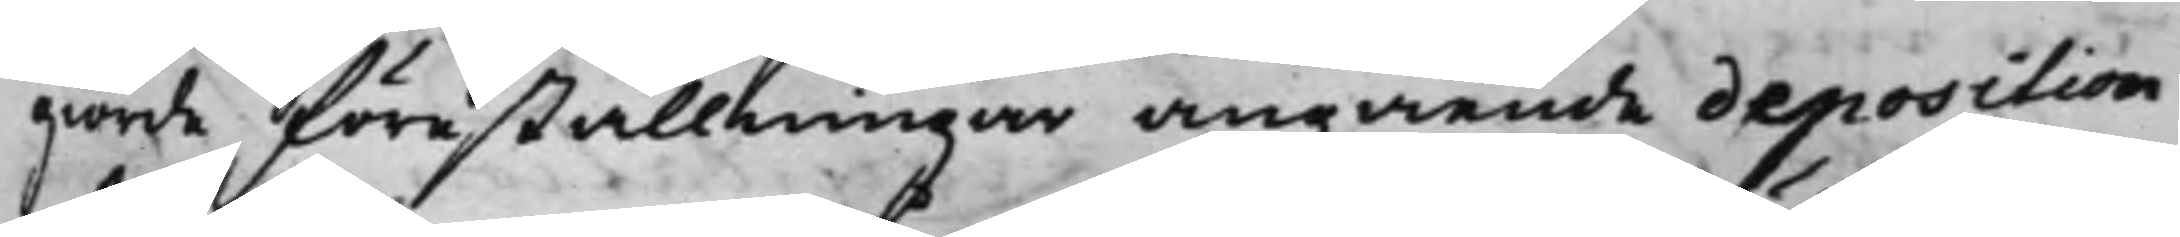giorde föreställningar angående deposition
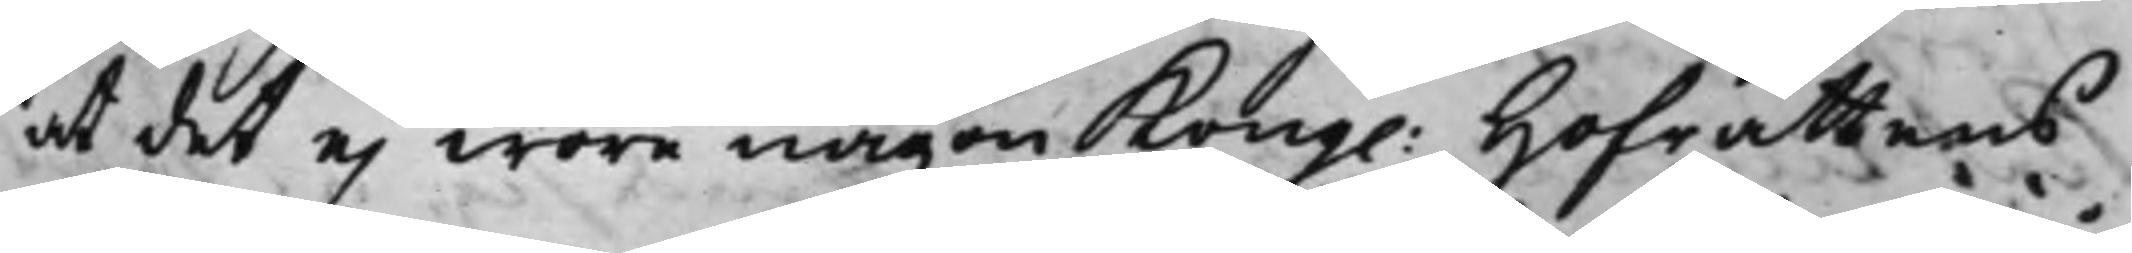at det ej wore någon Kong. Hofrättens
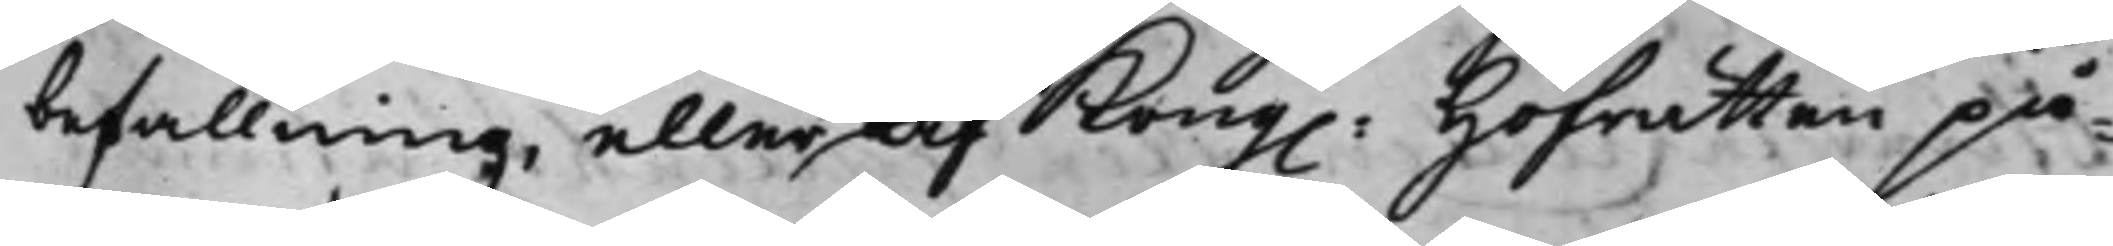befallning, eller af Kong. Hoffrätten på¬
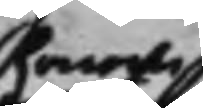henne
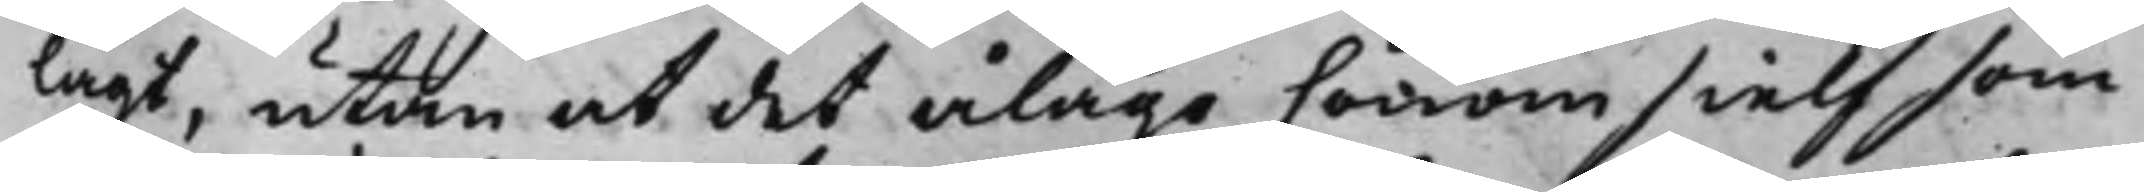lagt, utan at det ålago honom sielf som
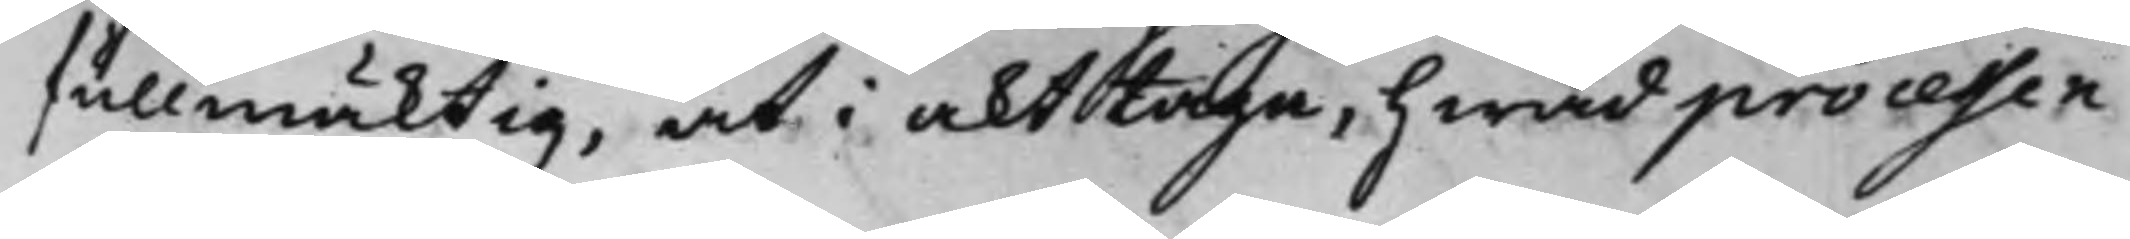fullmäcktig, at i akttaga, hwad processen
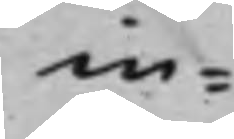in¬
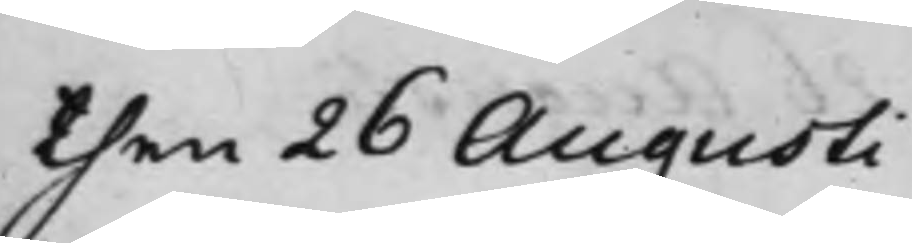then 26 Augusti
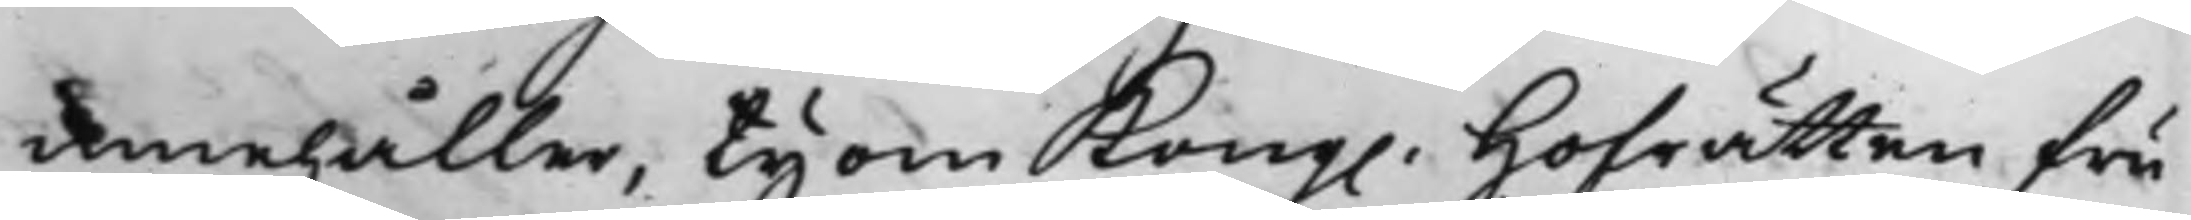innehåller, ty om Kong. Hofrätten fru
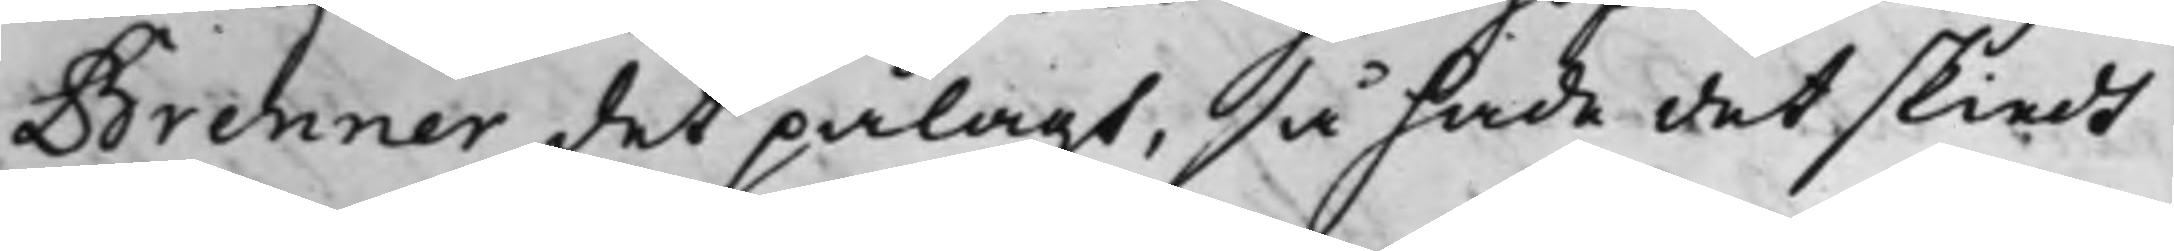Brenner det pålagt, så hade det skiedt
